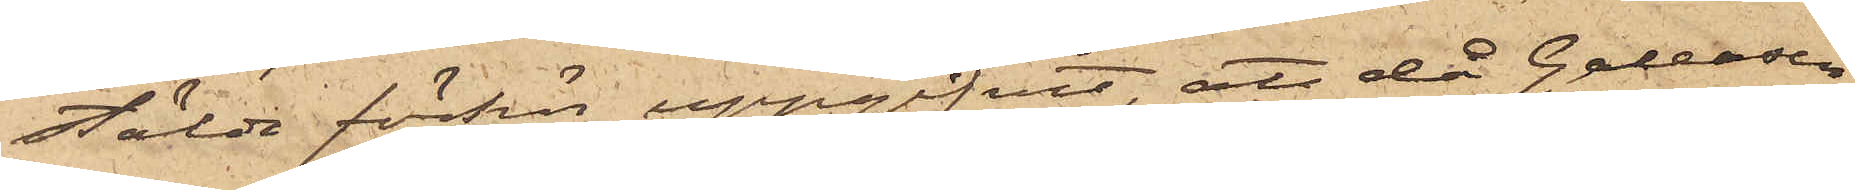stälde förhör uppgifvit, att då Galeasen
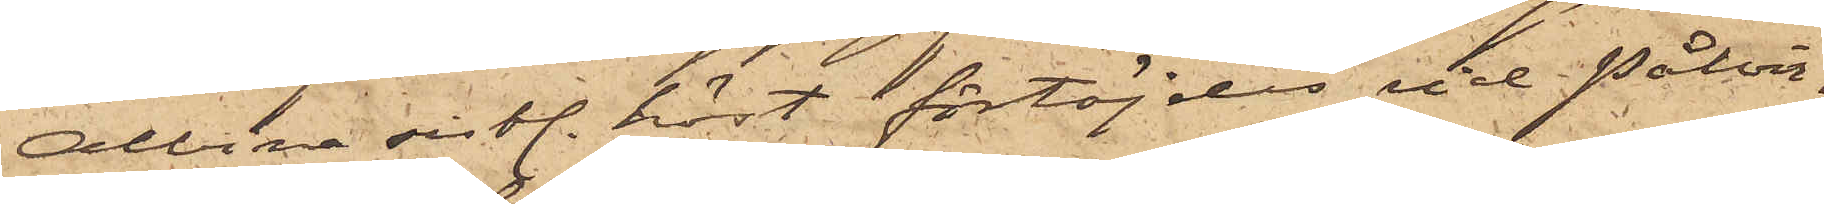Albina sistl. höst förtöjdes vid Pålver¬
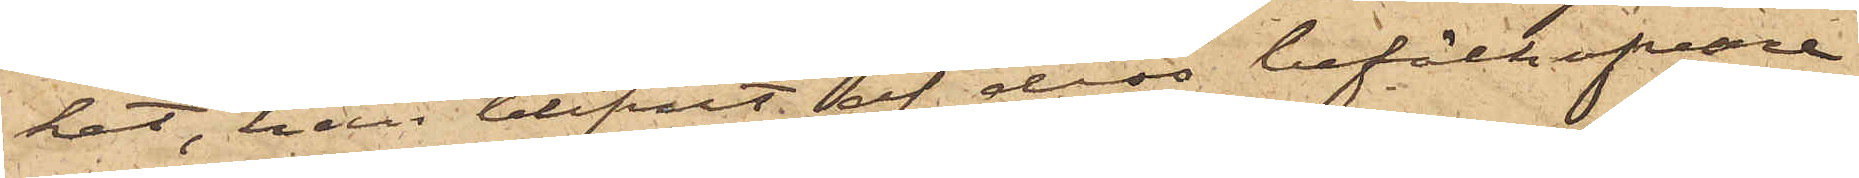ket, han blifvit af dess befälhafvare
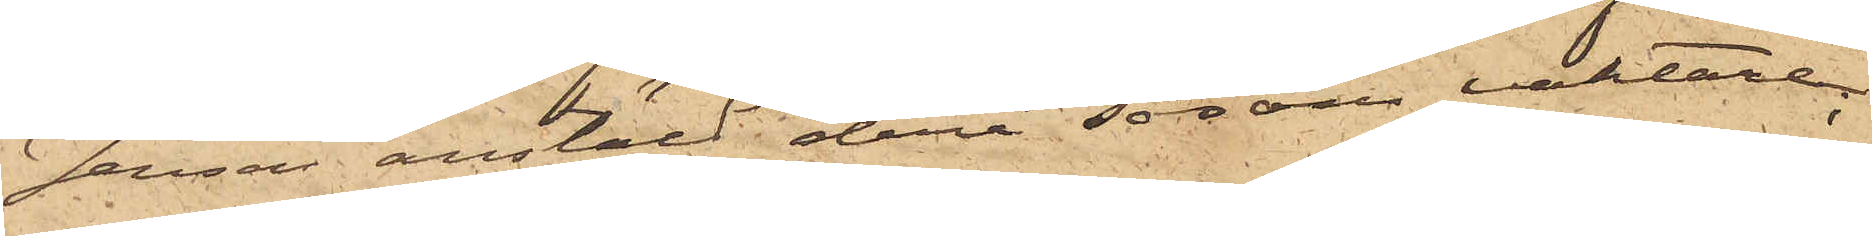Jansson anstäld derå såsom vaktare
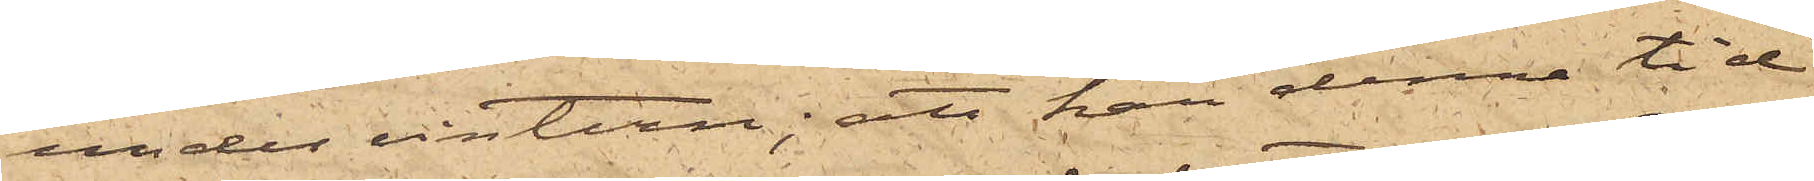under vinten; att han denna tid
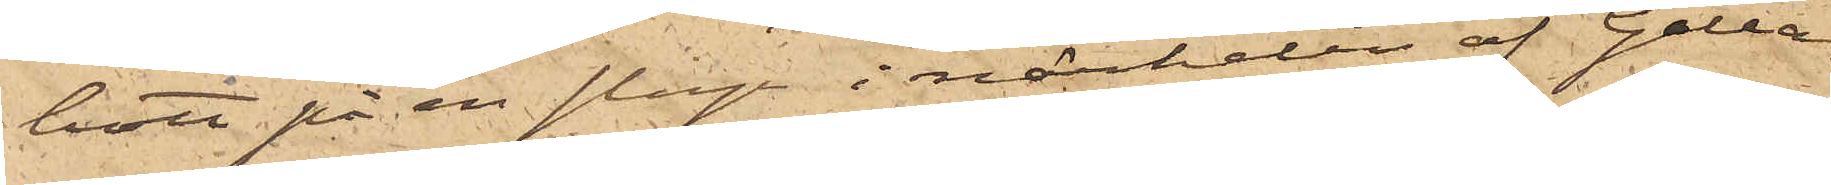bott på en slup i närheten af Galea¬
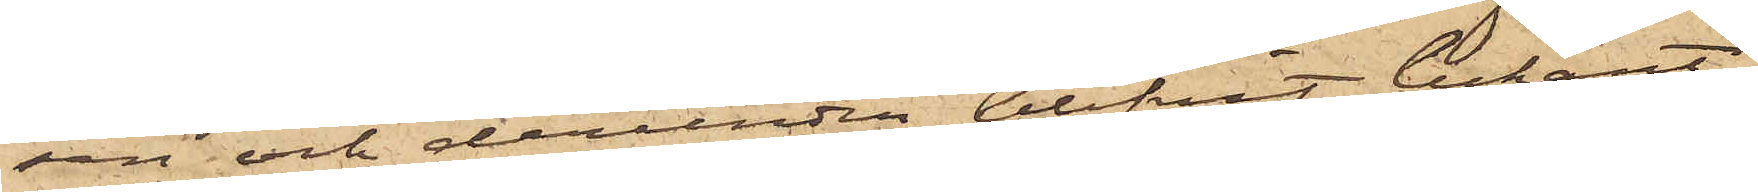sen och derunder blifvit bekant
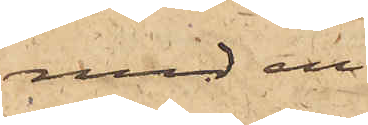med en
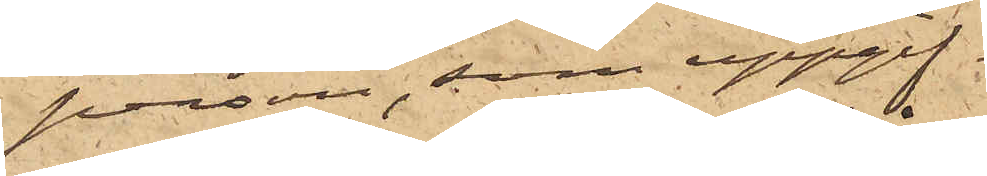person, som uppgif¬
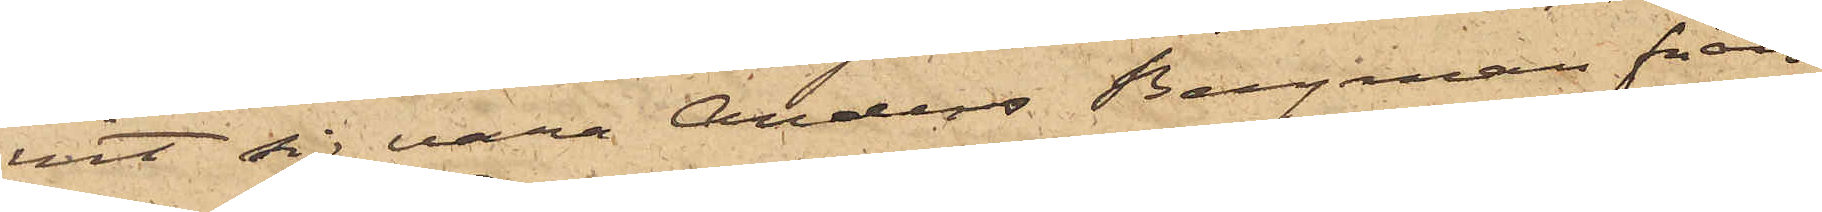vit sig vara Anders Bergman från
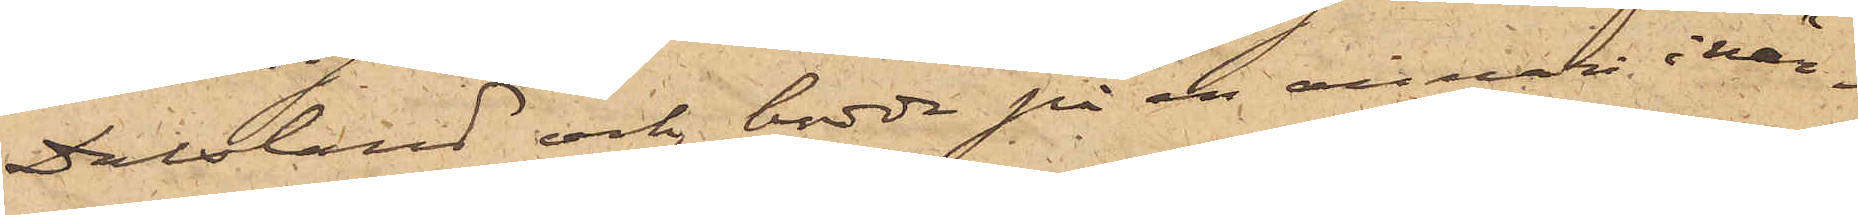Dalsland och bodde på en annan i när¬
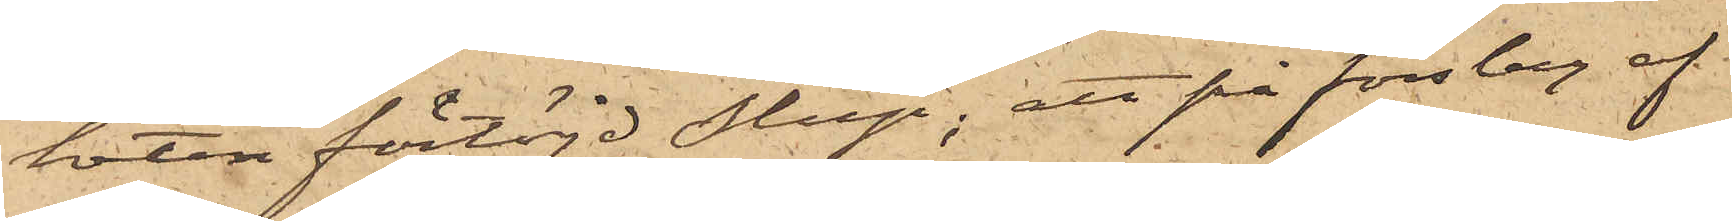heten förtöjd slup; att på förslag af
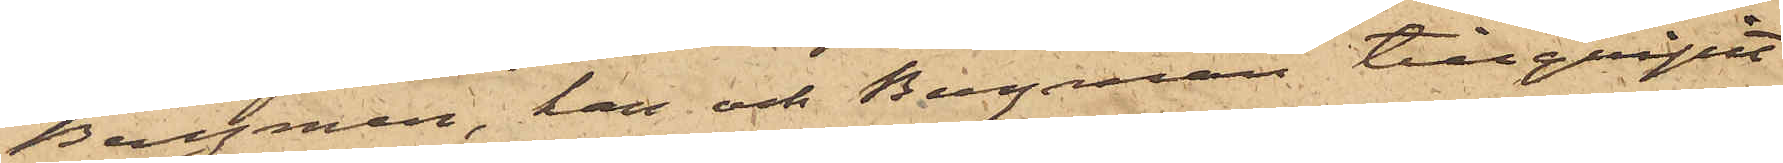Bergman, han och Bergman tillgripit
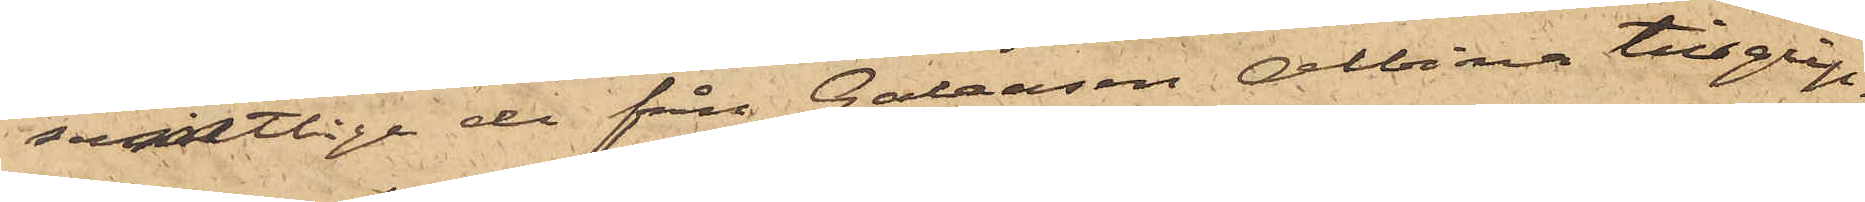samtlige de från Galeasen Albina tillgrip¬
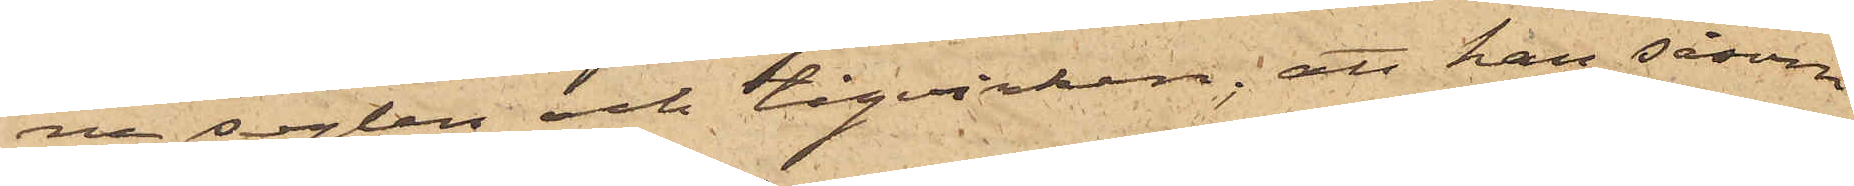ne seglen och tågvirket; att han såsom
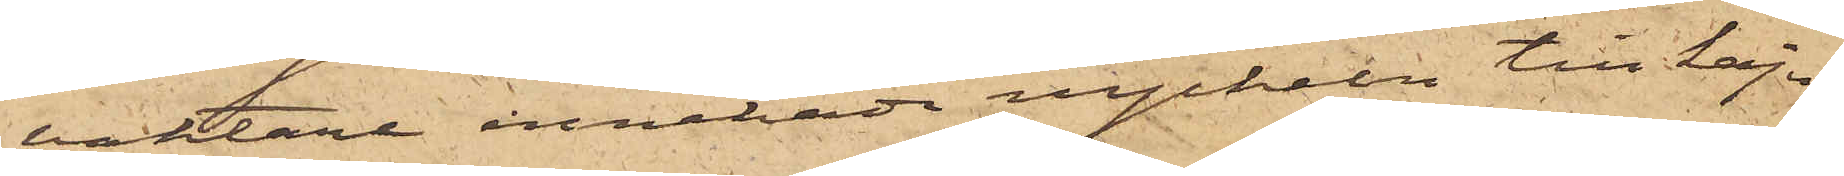vaktare innehade nyckeln till kaju¬
